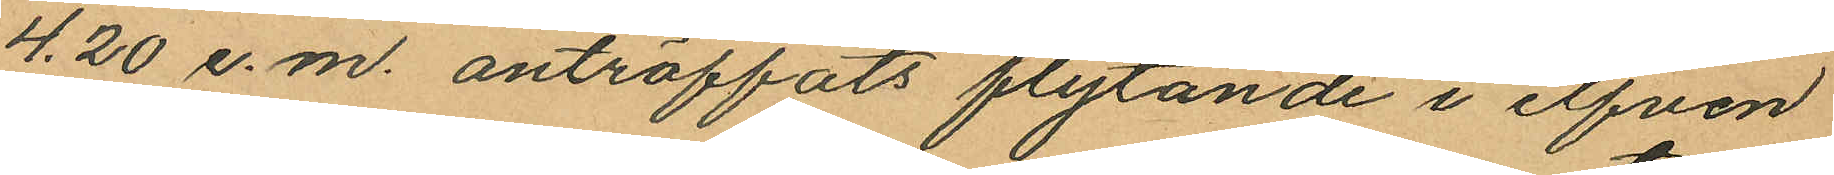4.20 e.m. anträffats flytande i elfven
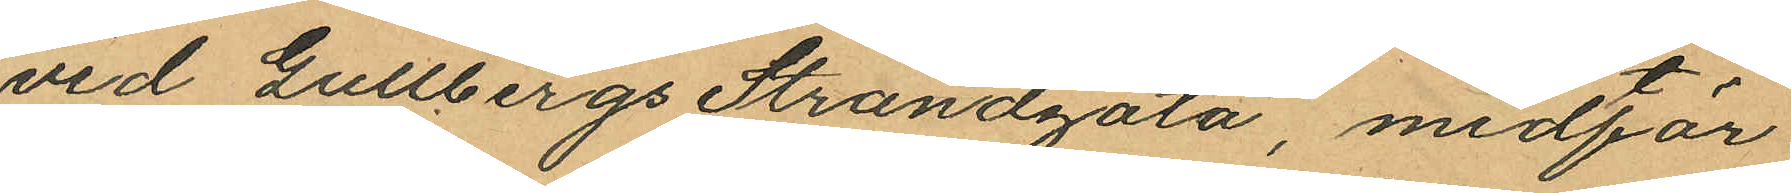vid Gullbergs Strandgata, midtför
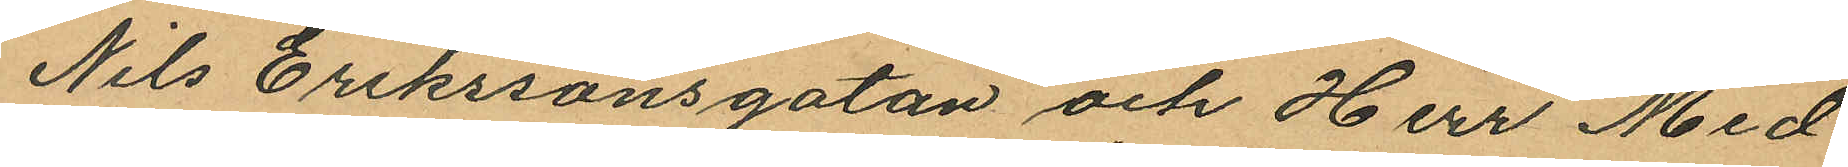Nils Erikssonsgatan och Herr Med.
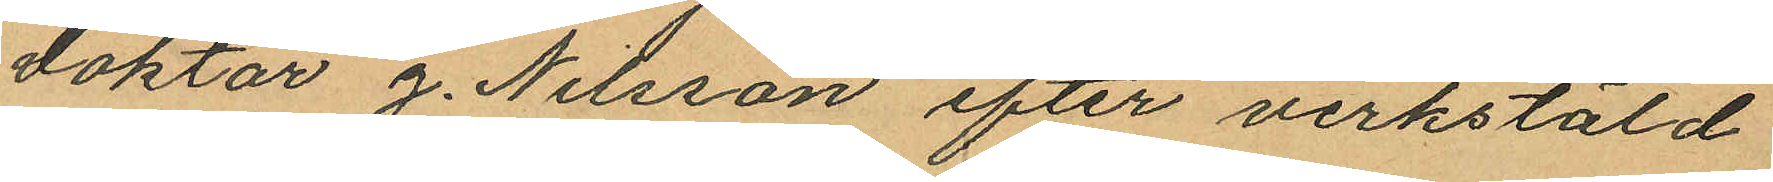doktor J. Nilsson efter verkstäld
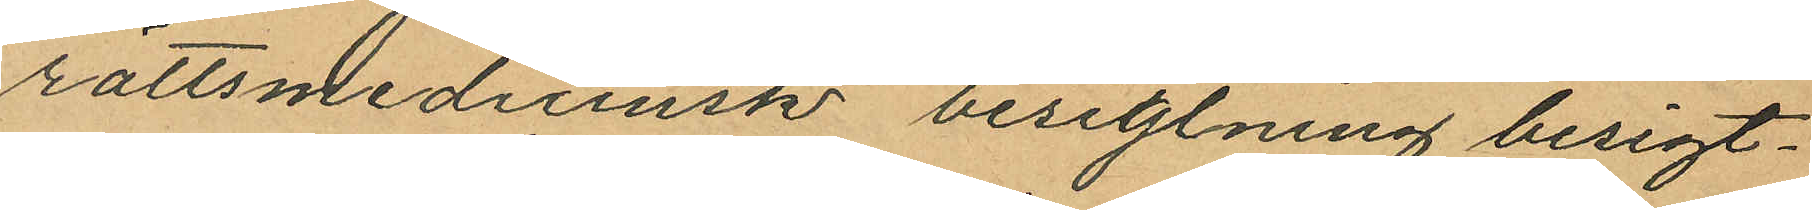rättsmedicinsk besigtning besigt¬
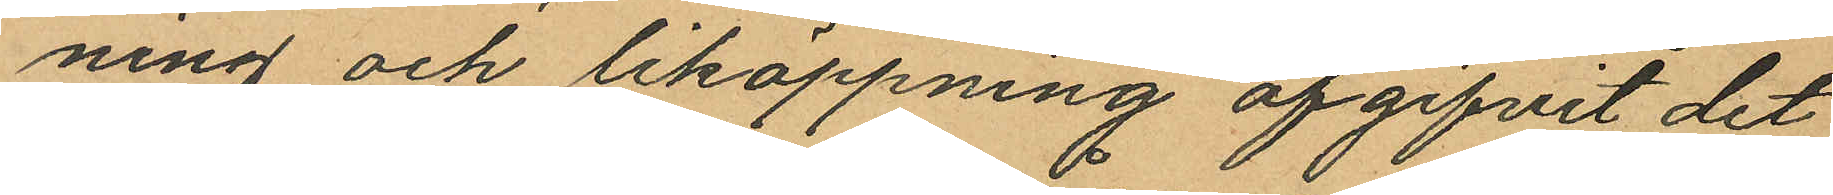ning och liköppning afgifvit det
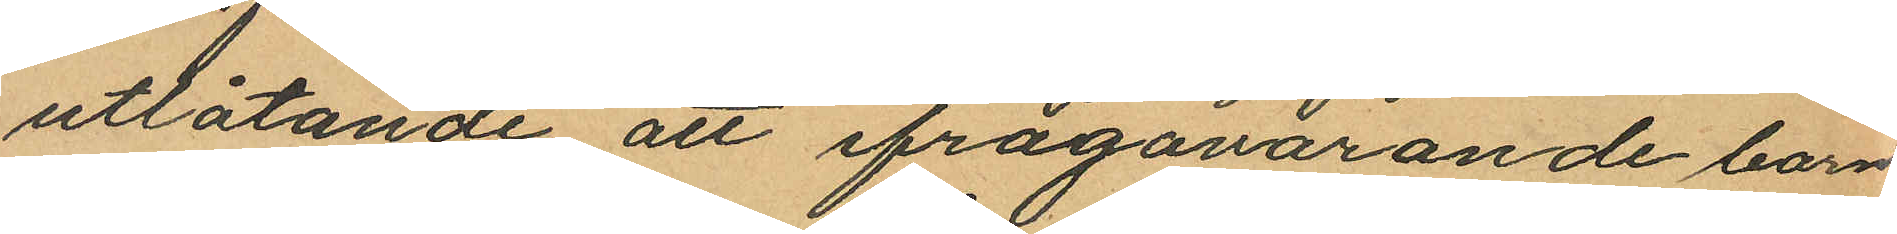utlåtande att ifrågavarande barn
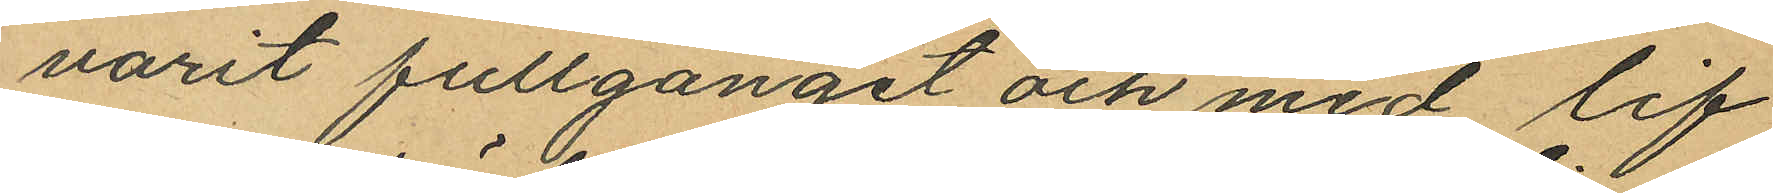varit fullgånget och med lif
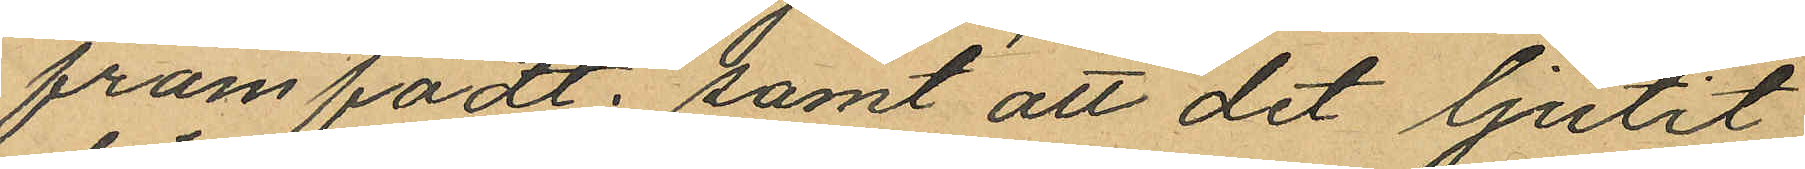framfödt; samt att det ljutit
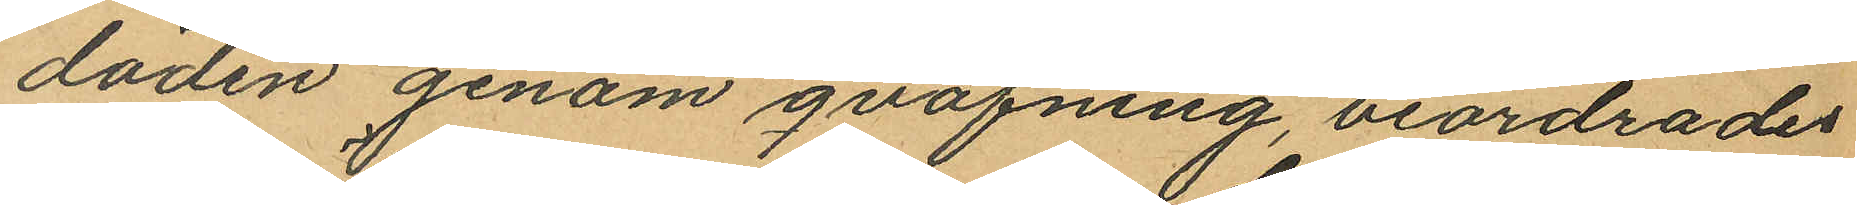döden genom qväfning, beordrades
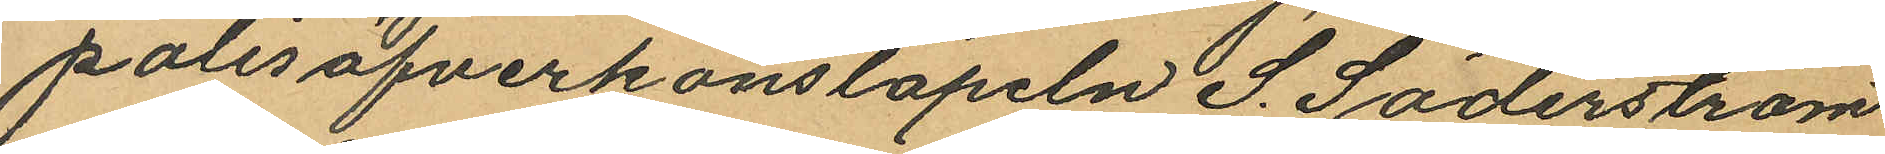polisöfverkonstapeln S. Söderström
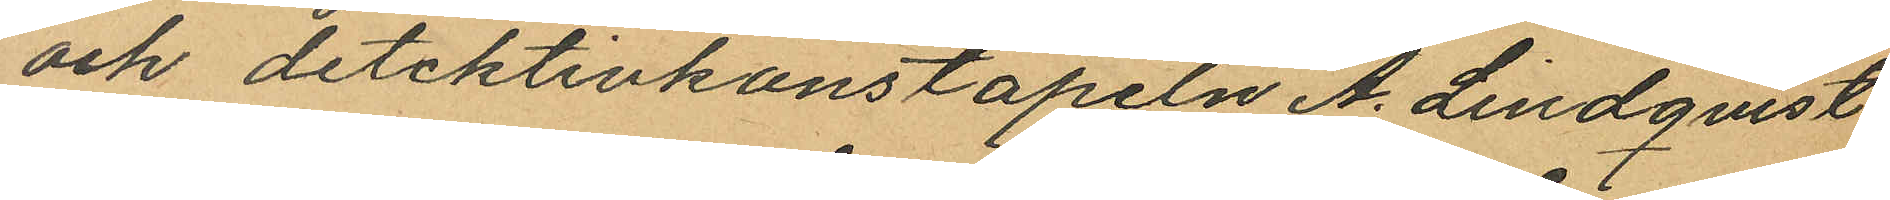och detektivkonstapeln A. Lindqvist
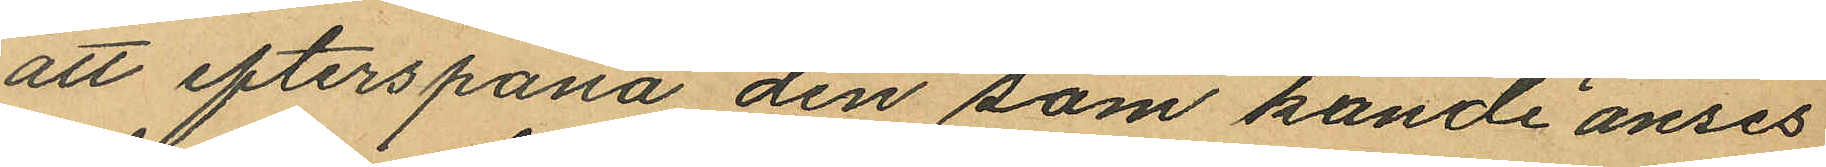att efterspana den som kunde anses
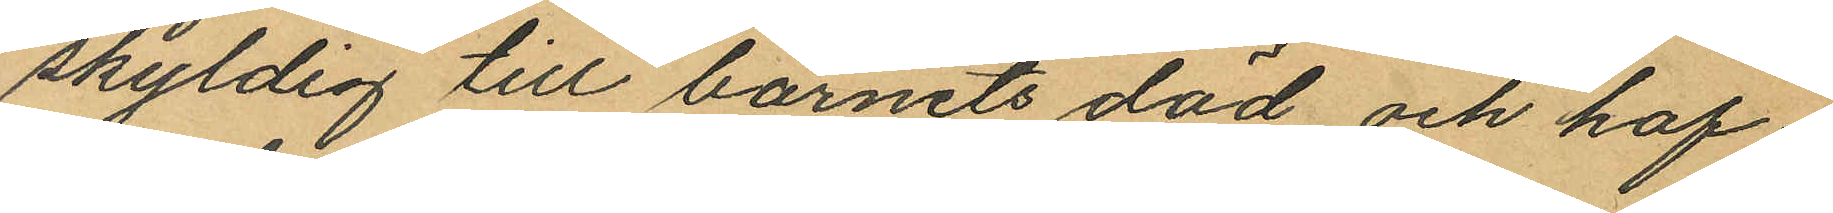skyldig till barnets död, och haf¬
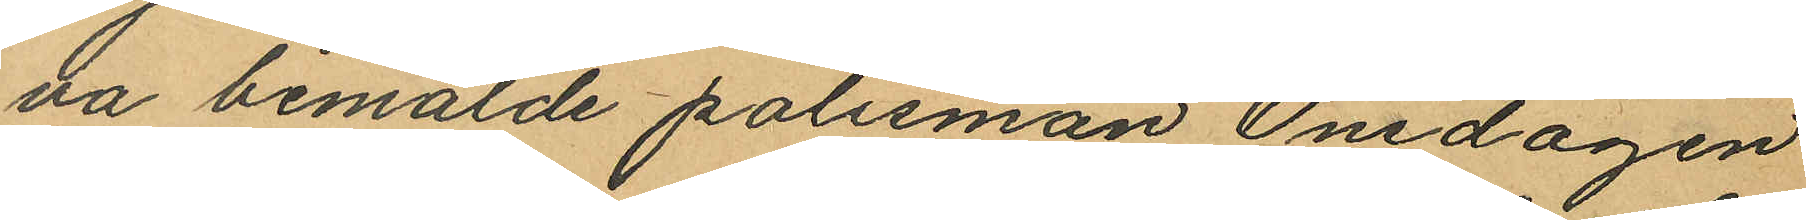va bemälde polismän Onsdagen
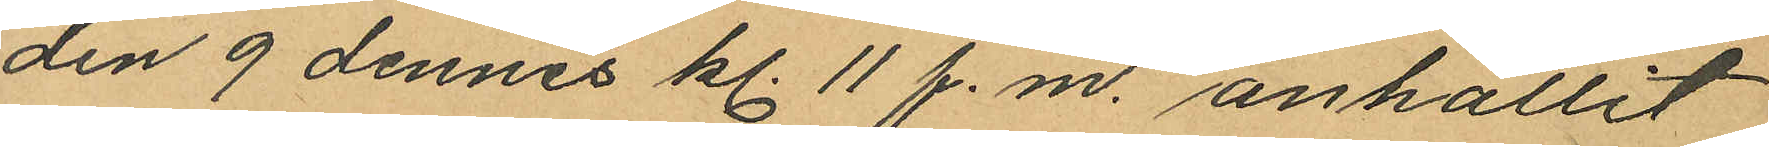den 9 dennes kl. 11 f.m. anhållit
